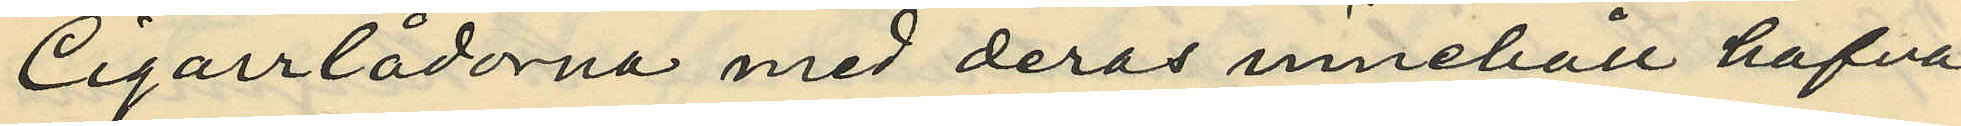Cigarrlådorna med deras innehåll hafva
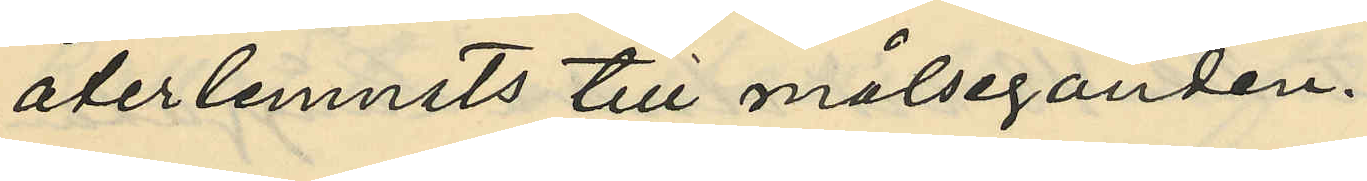återlemnats till målseganden.
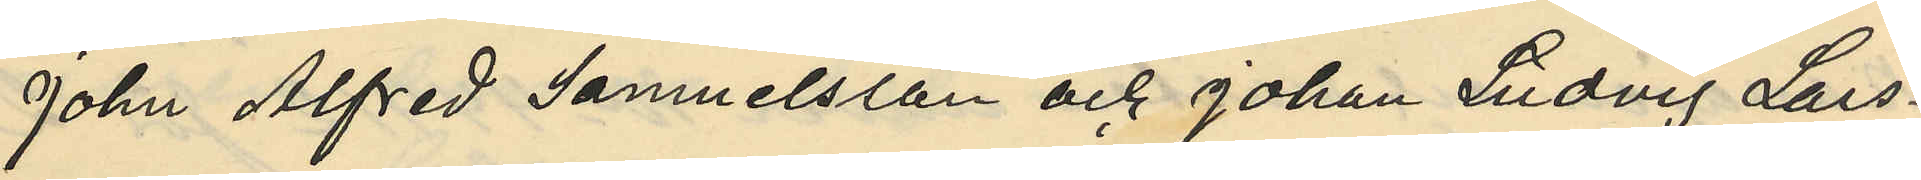John Alfred Samuelsson och Johan Ludvig Lars¬
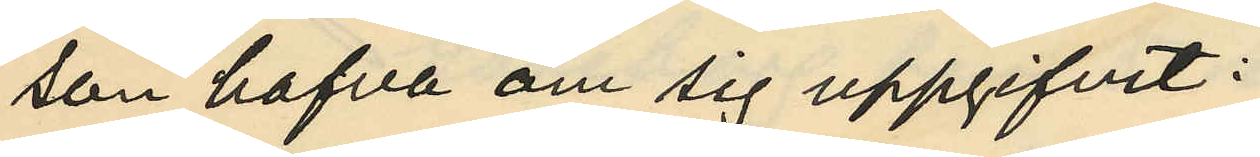son hafva om sig uppgifvit:
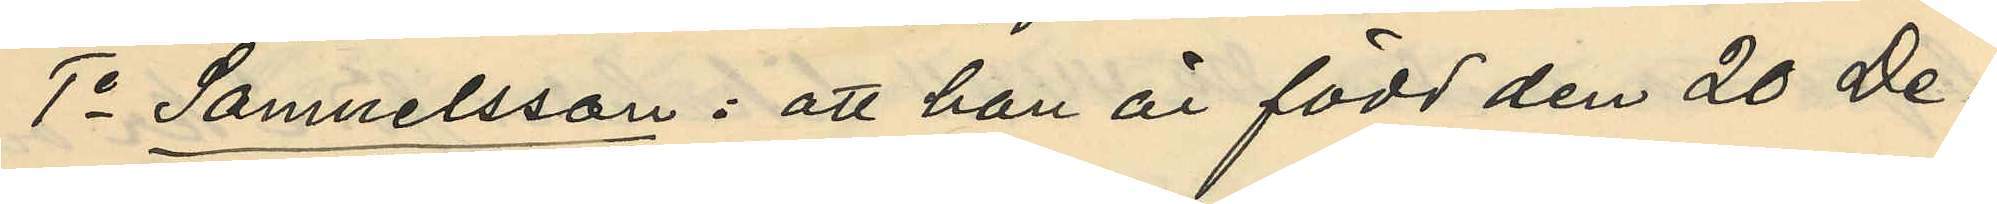1o Samuelsson: att han är född den 20 De¬
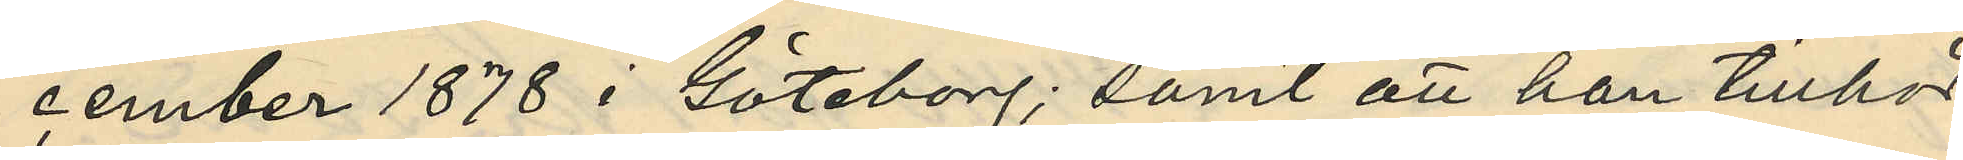cember 1878 i Göteborg; samt att han tillhör
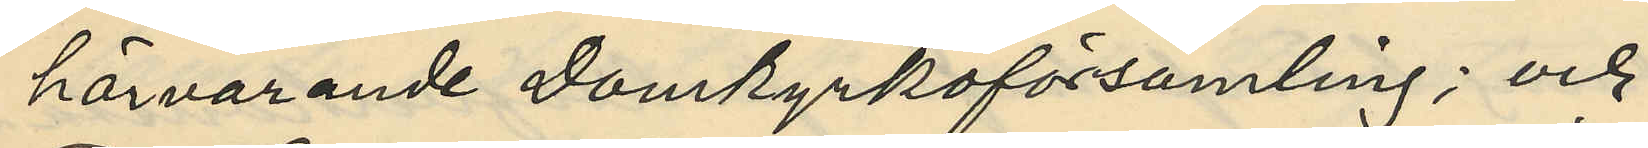härvarande Domkyrkoförsamling; och
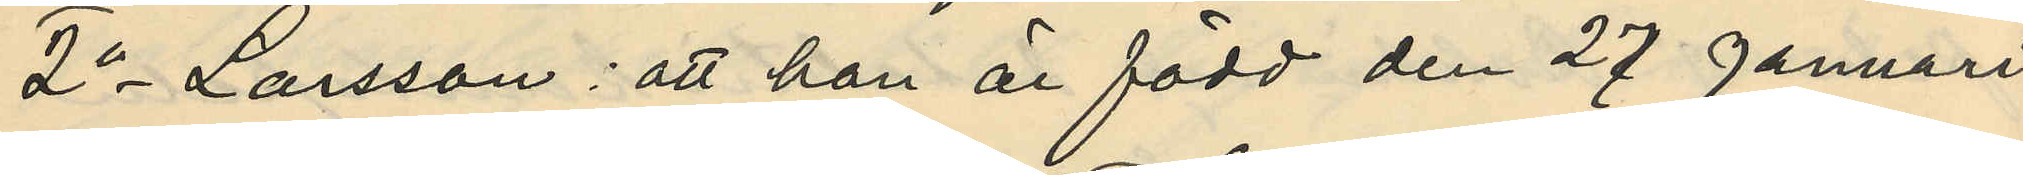2o Larsson: att han är född den 27 Januari
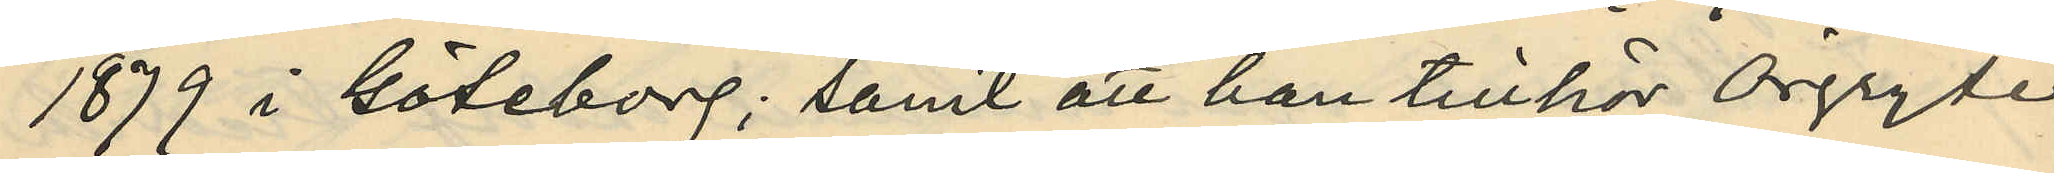1879 i Göteborg; samt att han tillhör Örgryte
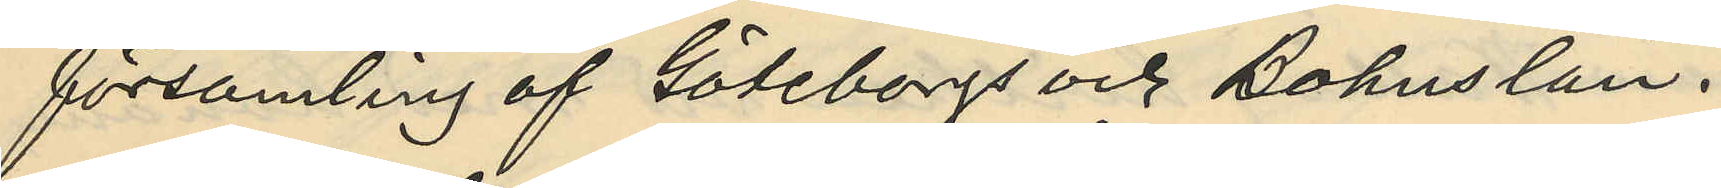församling af Göteborgs och Bohuslän.
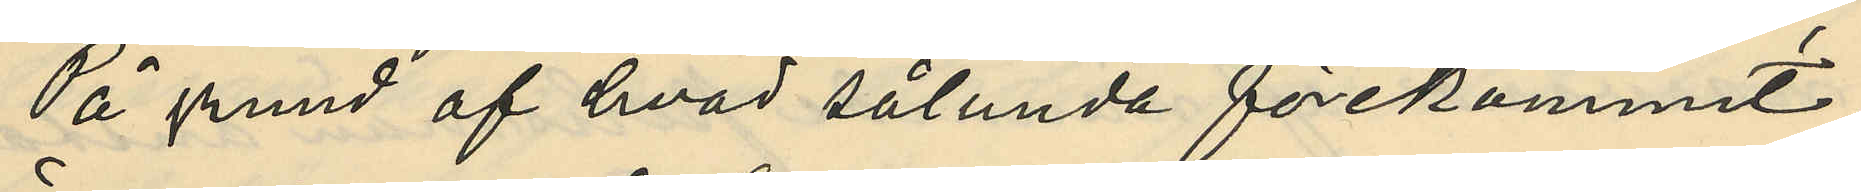På grund af hvad sålunda förekommit
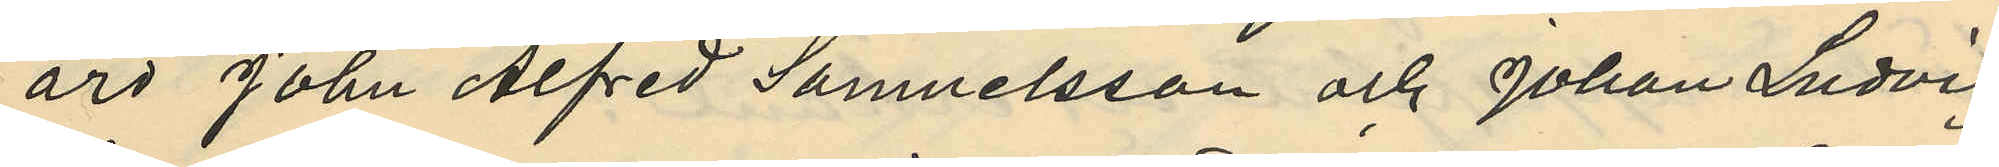äro John Alfred Samuelsson och Johan Ludvig
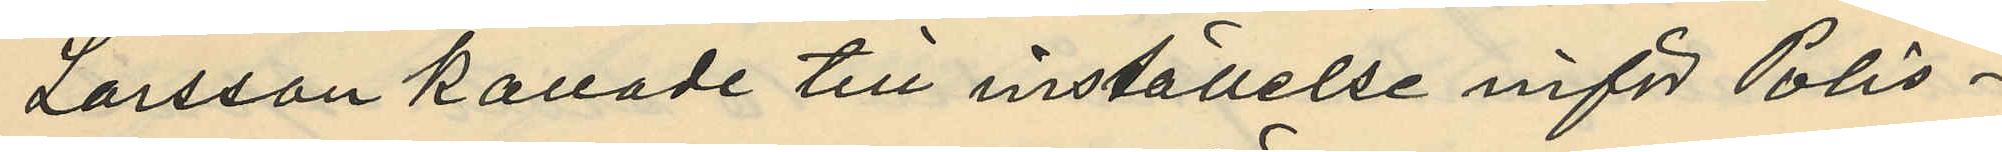Larsson kallade till inställelse inför Polis¬
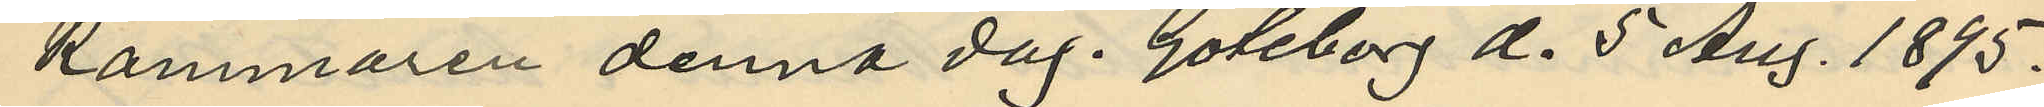kammaren denna dag. Göteborg d. 5 Aug. 1895.
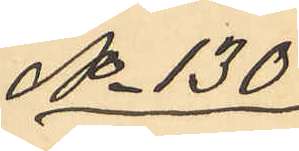No 130
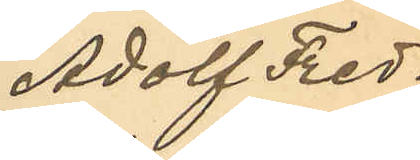Adolf Fred¬
